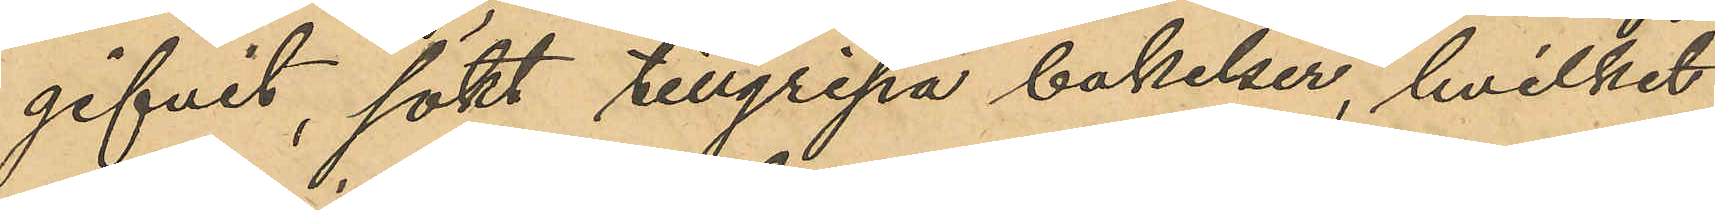gifvit, sökt tillgripa bakelser, hvilket
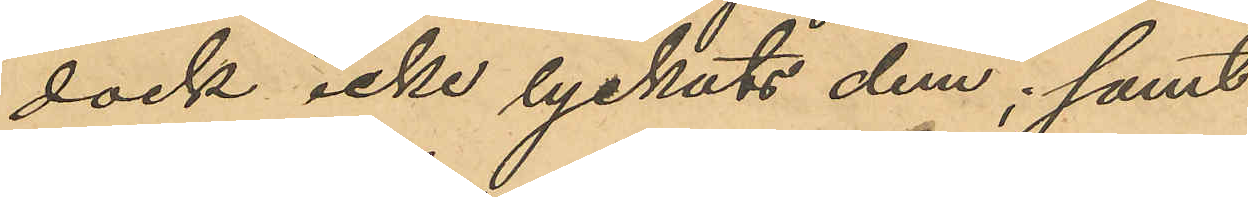dock icke lyckats dem; samt
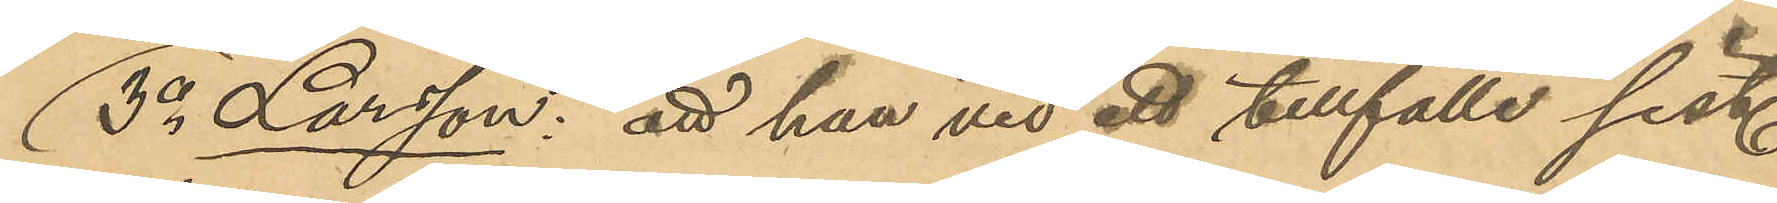3o Larsson: att han vid ett tillfälle sist.
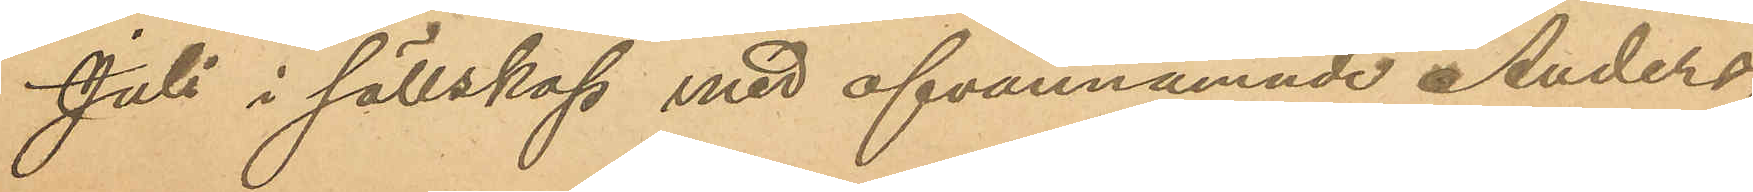juli i sällskap med ofvannämnde Anders¬
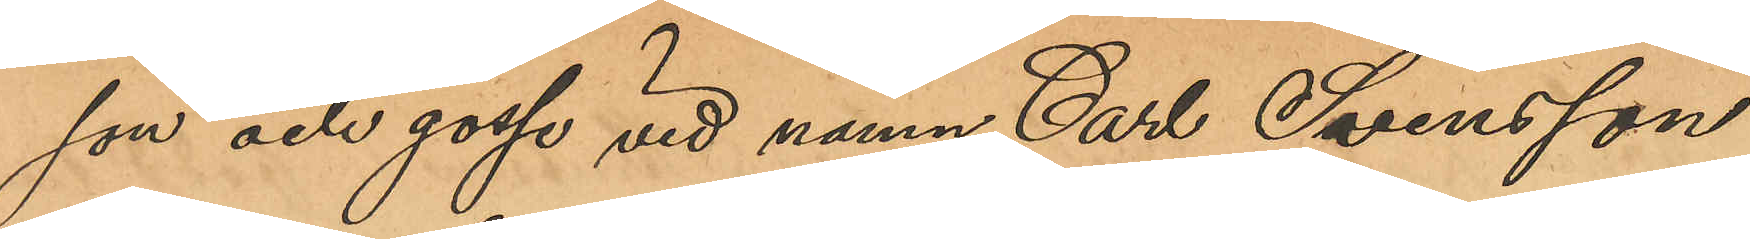son och gosse vid namn Carl Svensson
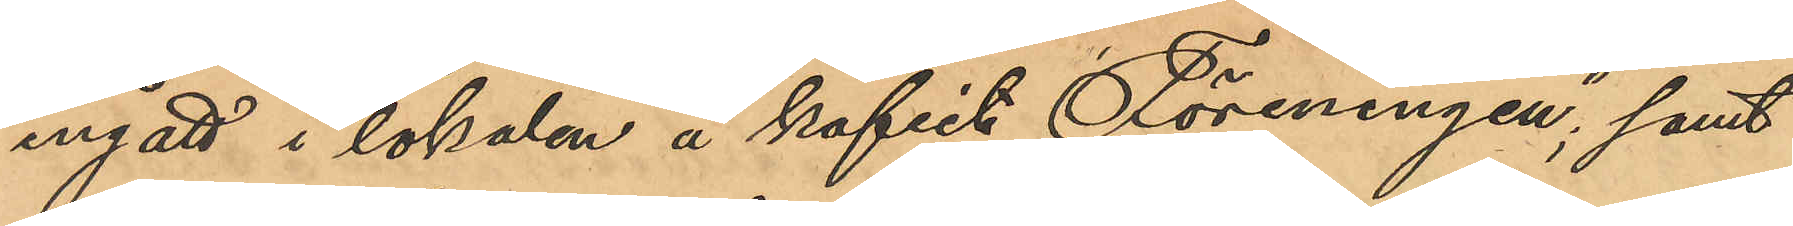ingått i lokalen å kaféet "Föreningen"; samt
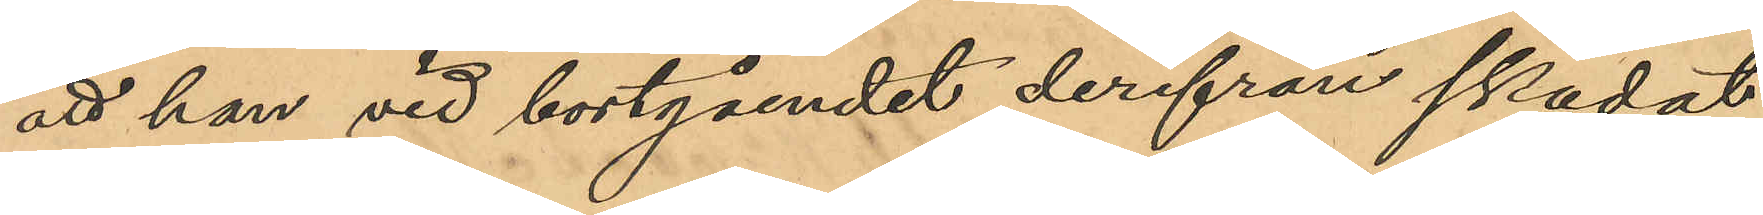att han vid bortgåendet derifrån skadat
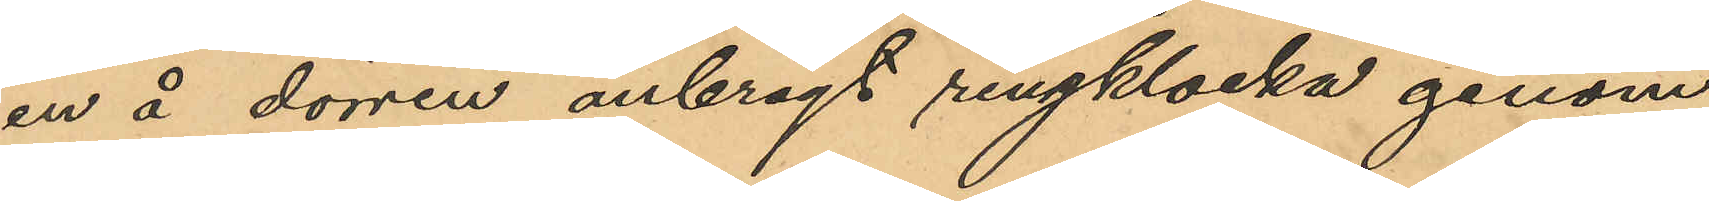en å dörren anbragt ringklocka genom
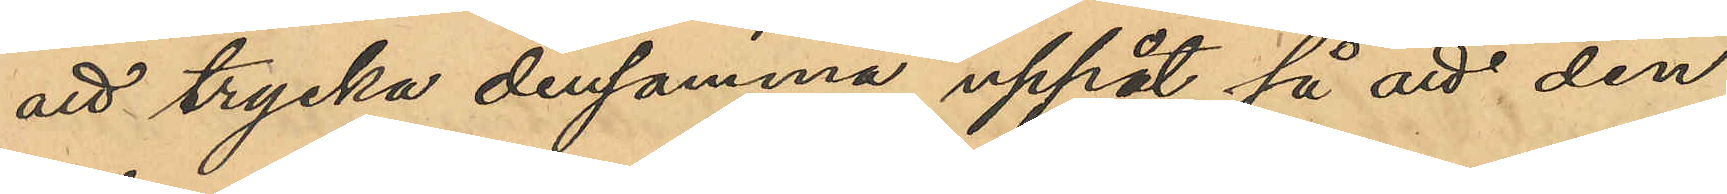att trycka densamma uppåt så att den
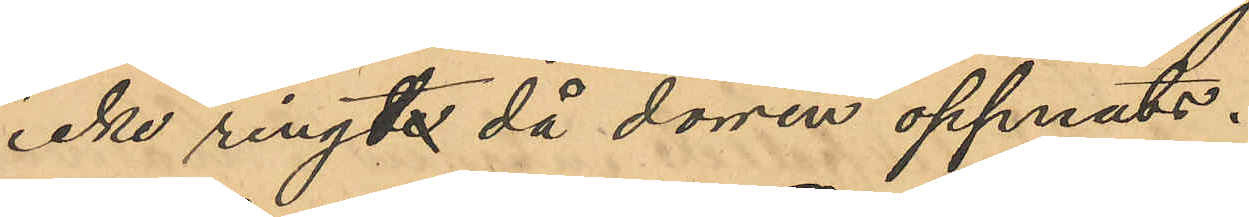icke ringde då dörren öppnats.
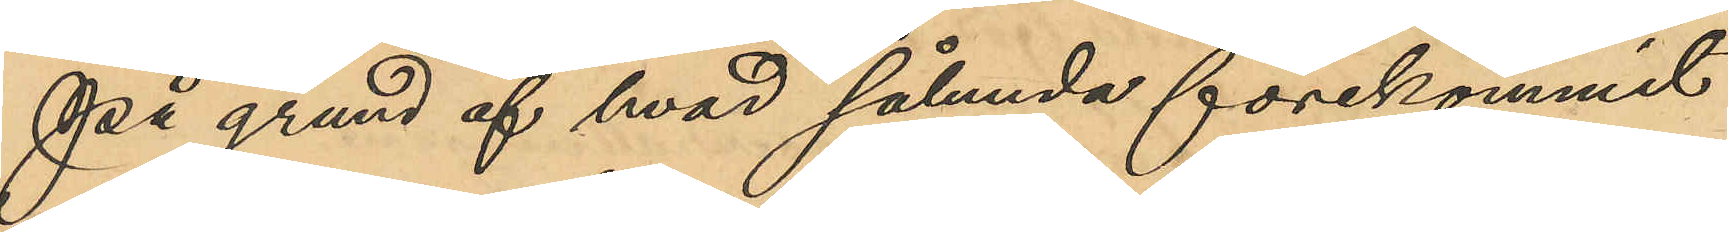På grund af hvad sålunda förekommit
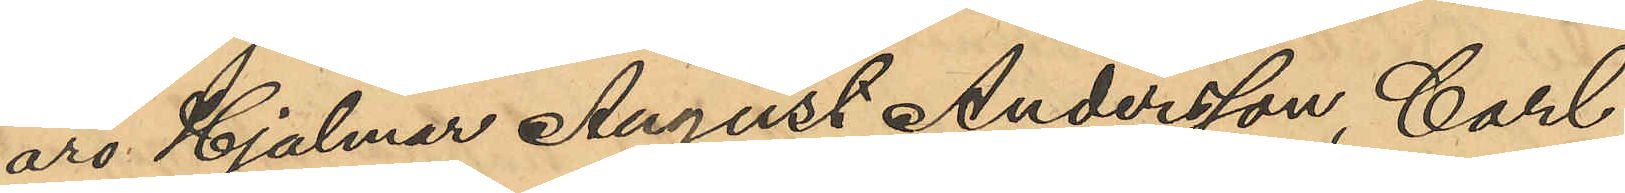äro Hjalmar August Andersson, Carl
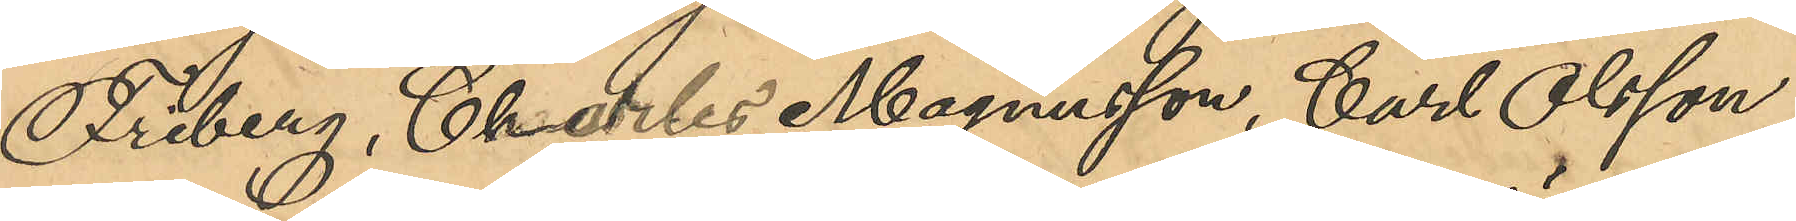Friberg, Charles Magnusson, Carl Olsson
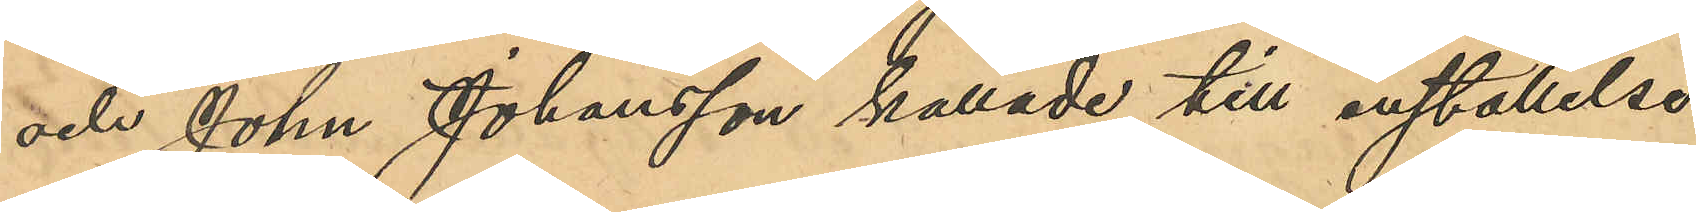och John Johansson kallade till inställelse
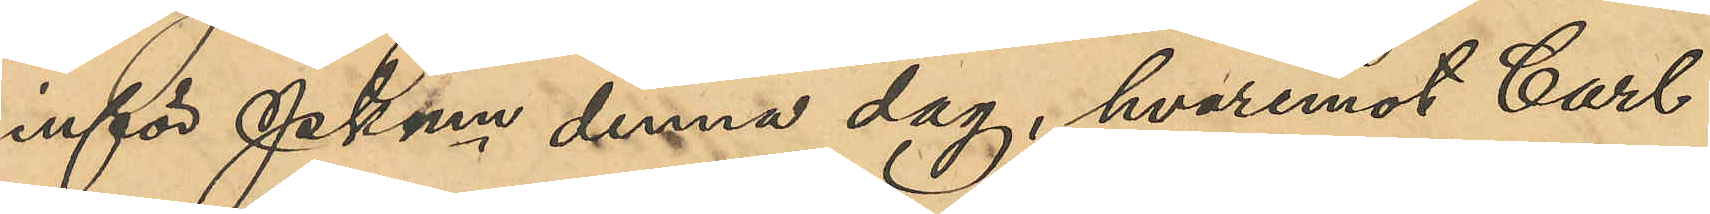inför Pkmn denna dag, hvaremot Carl
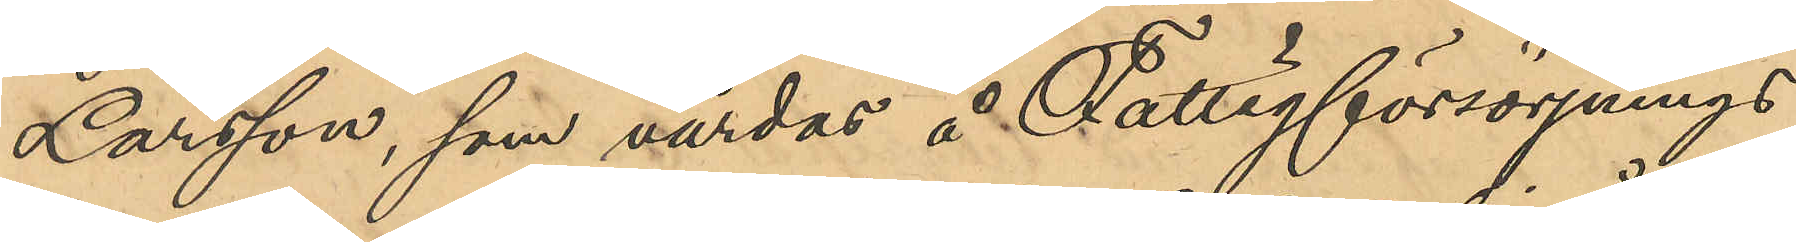Larsson, som vårdas å Fattigförsörjnings¬
